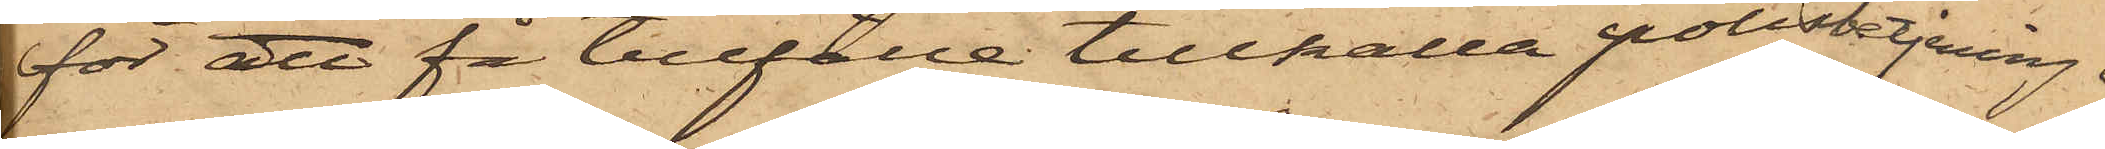för att få tillfälle tillkalla polisbetjening.
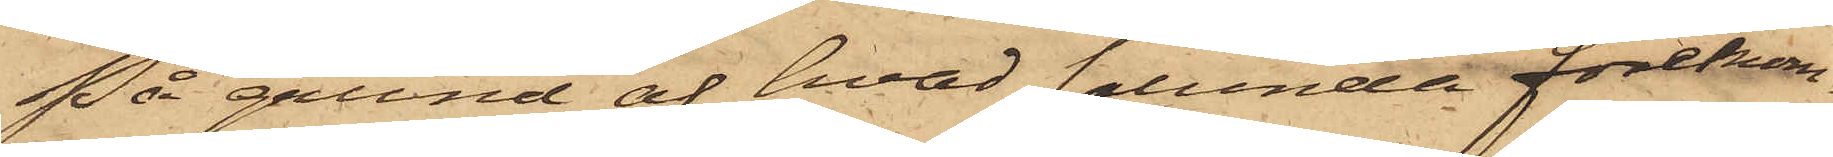På grund af hvad sålunda förekom¬
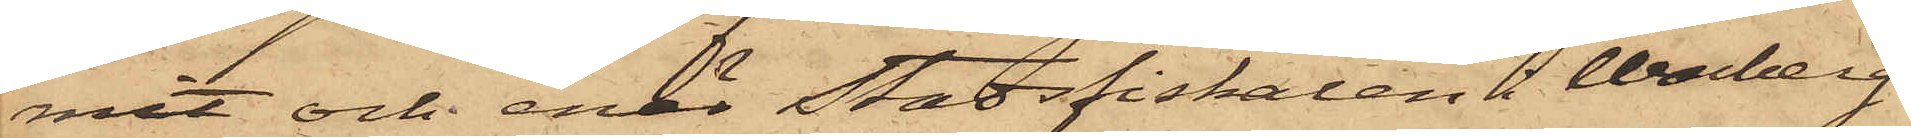mit och enär Stadsfiskalen i Warberg
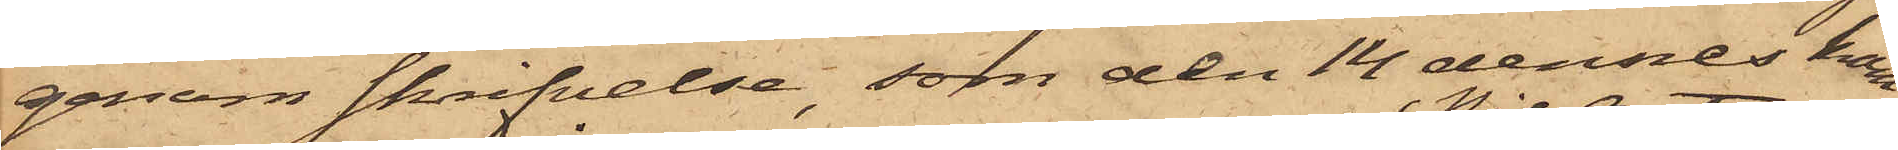genom skrifvelse, som den 14 dennes kom¬
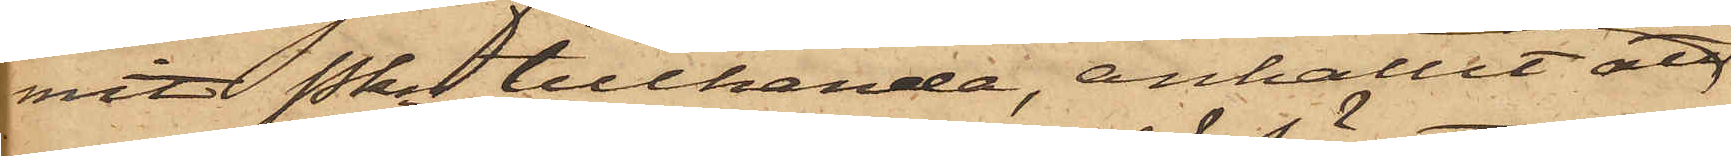mit Pkn tillhanda, anhållit att
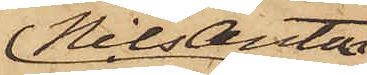Nils Anton
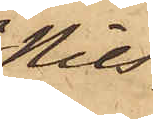Nils¬
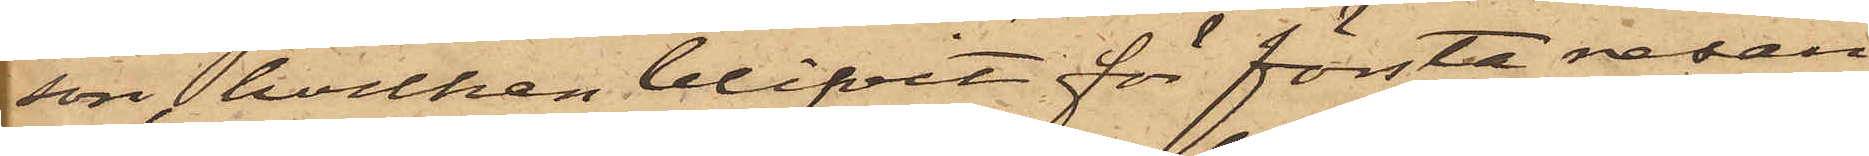son, hvilken blifvit för första resan
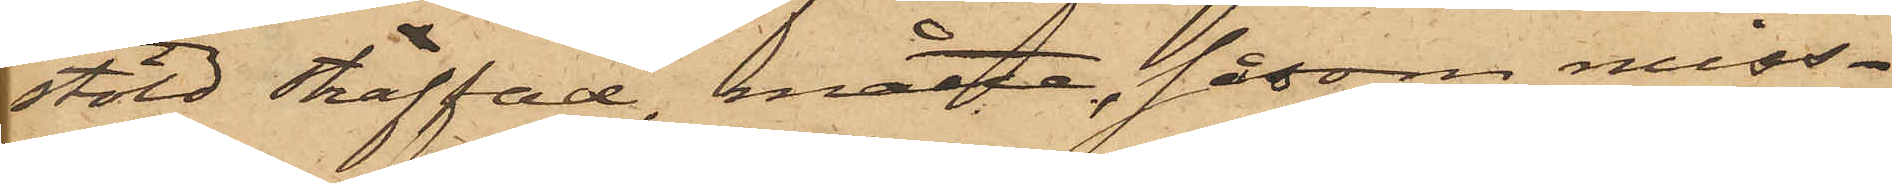stöld straffad, måtte, såsom miss¬
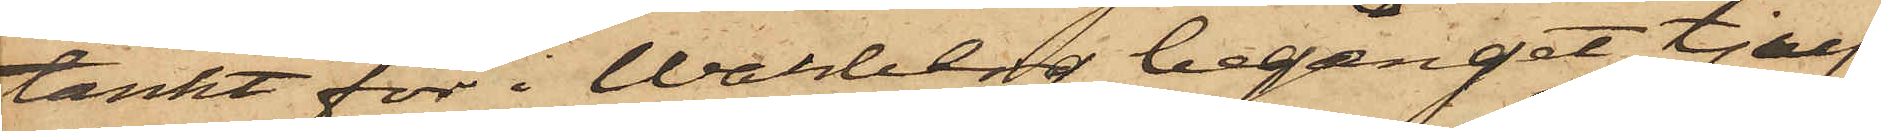tänkt för i Warberg begånget tjuf¬
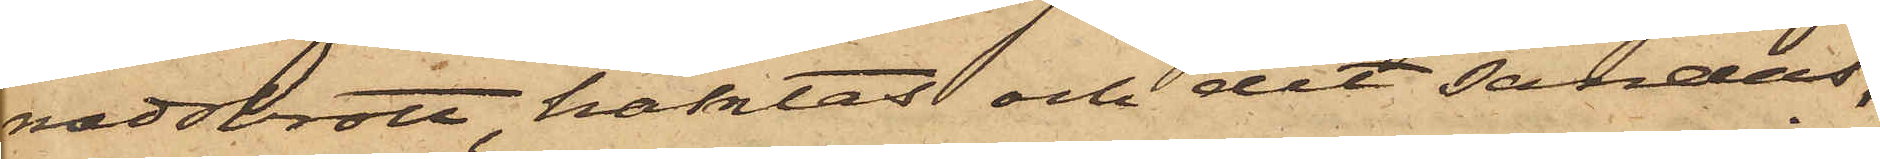nadsbrott, häktas och dit sändas,
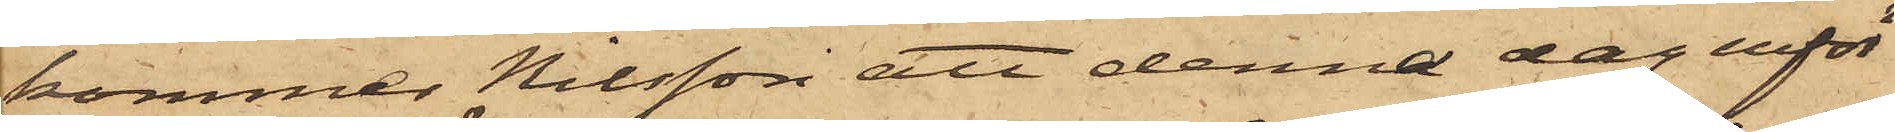kommer Nilsson att denna dag inför
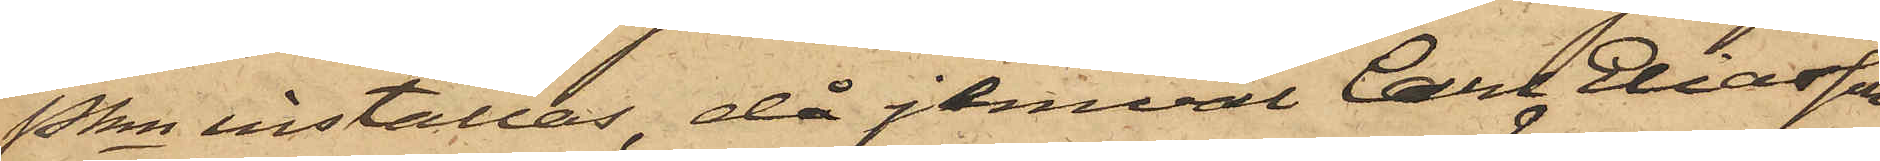Pkn inställas, då jemväl Carl Eliasson
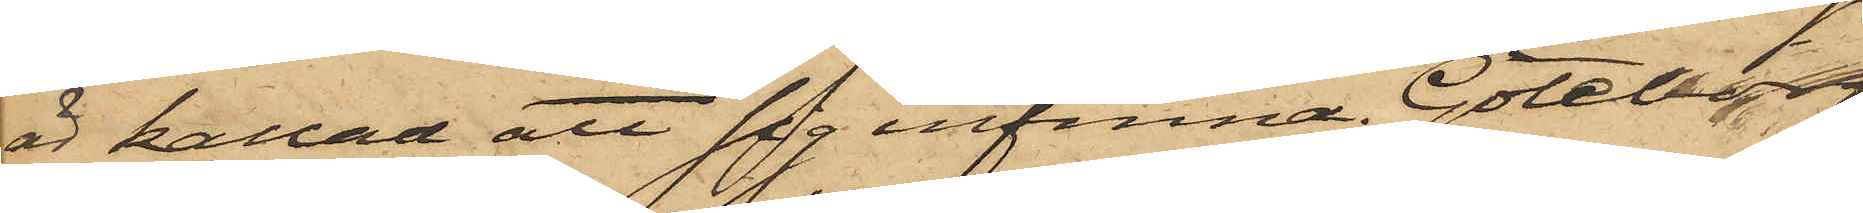är kallad att sig infinna. Göteborg
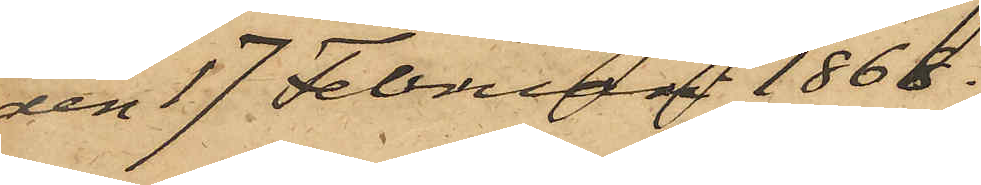den 17 Februari 1868.
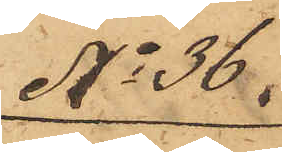No 36.
